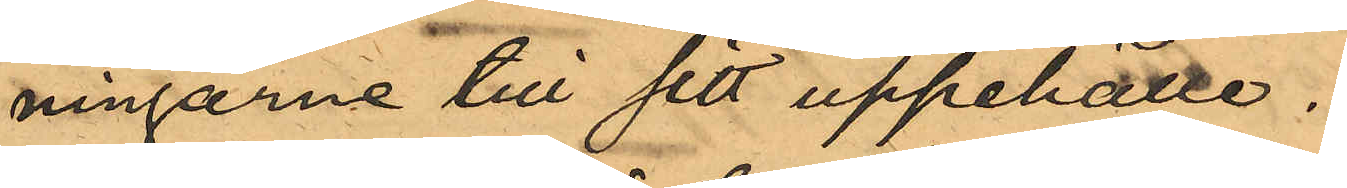ningarne till sitt uppehälle.
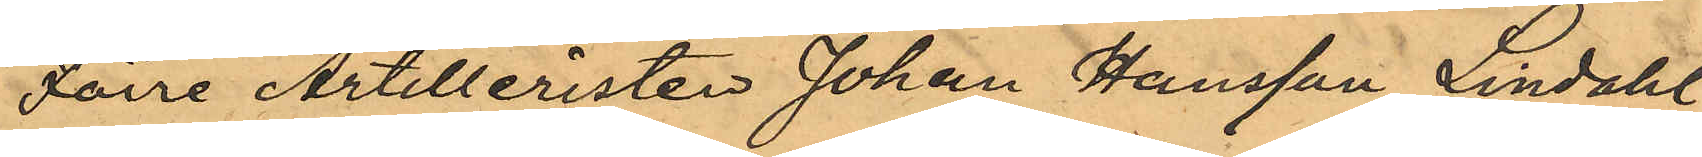Förre Artilleristen Johan Hansson Lindahl
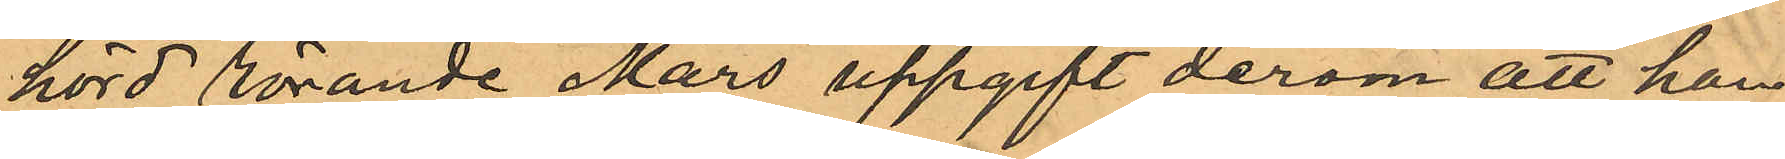hörd rörande Mars uppgift derom att han
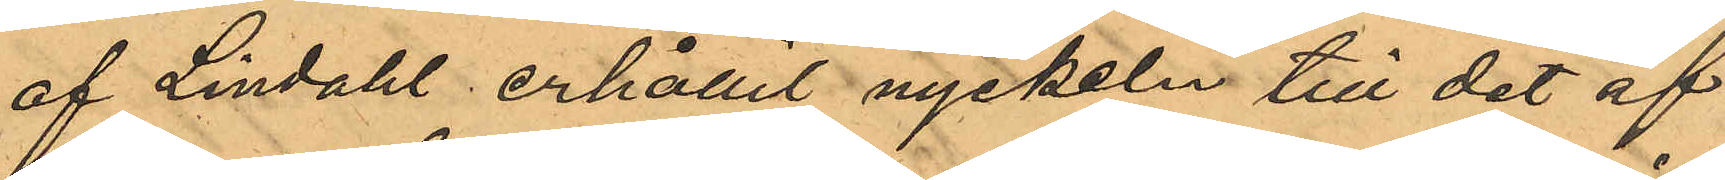af Lindahl erhållit nyckeln till det af
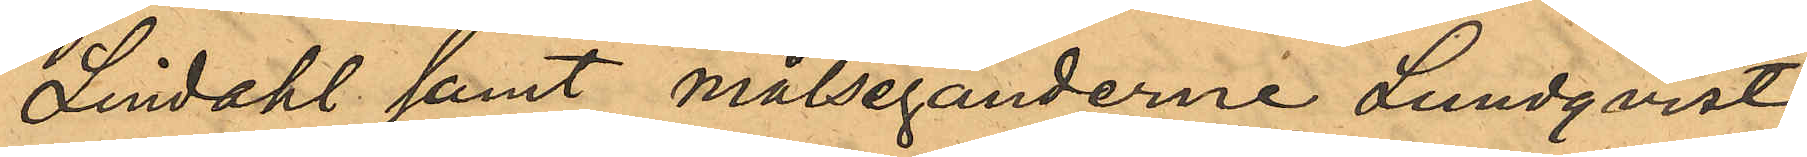Lindahl samt målseganderne Lundqvist
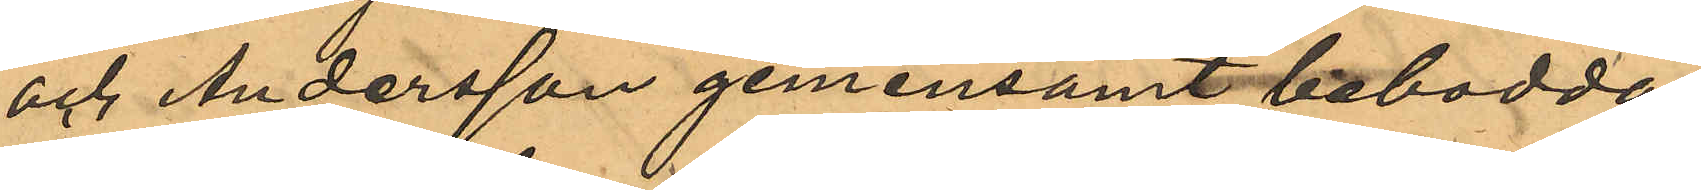och Andersson gemensamt bebodda
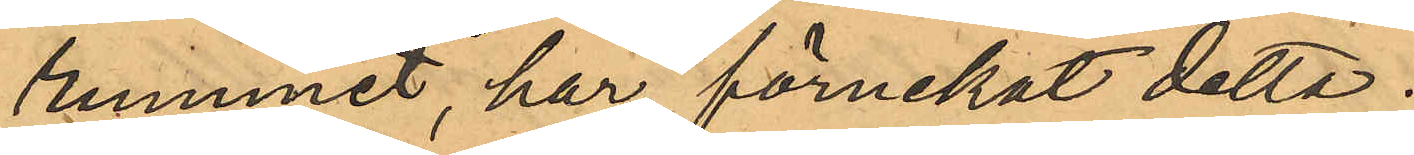rummet, har förnekat detta;
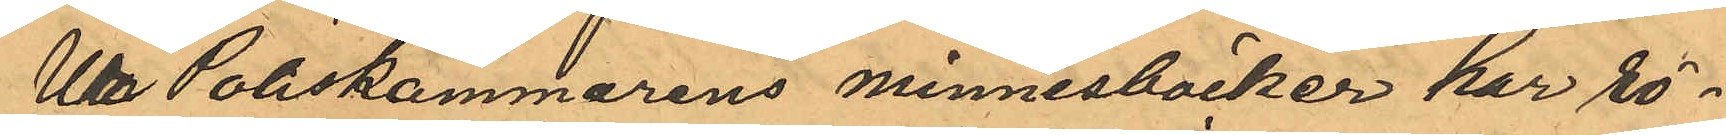U Poliskammarens minnesböcker har rö¬
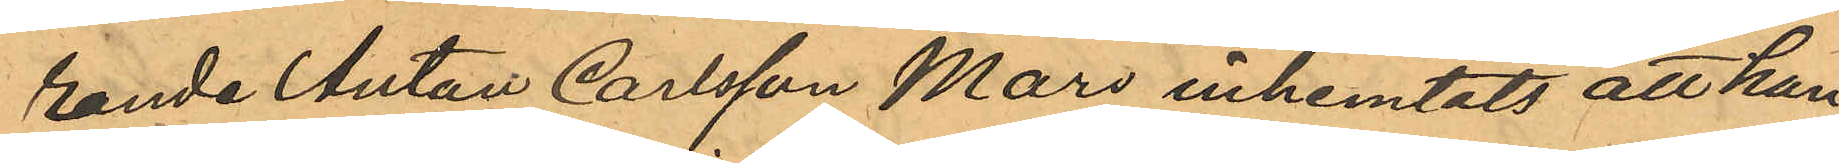rande Anton Carlsson Mars inhemtats att han
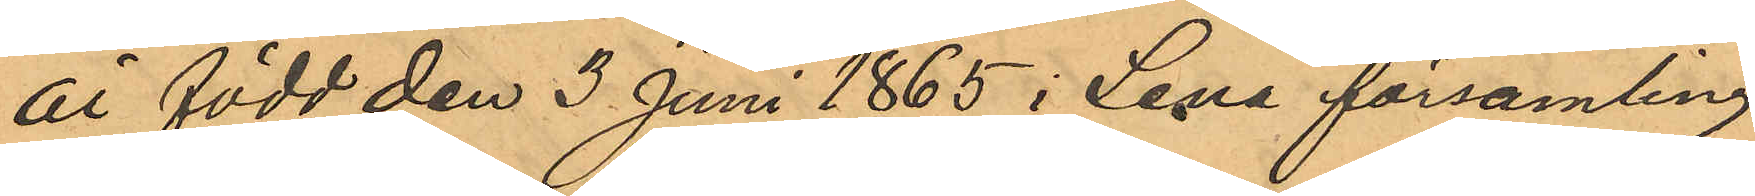är född den 3 Juni 1865 i Lena församling
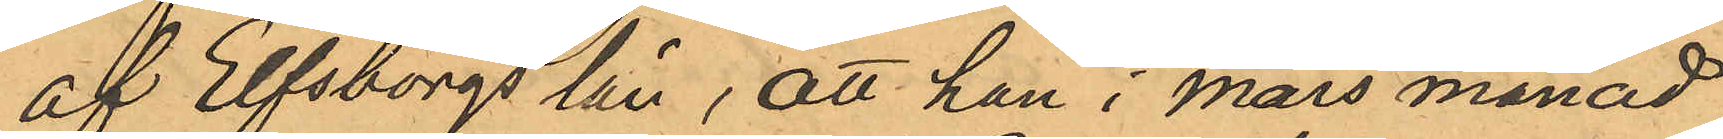af Elfsborgs län, att han i mars månad
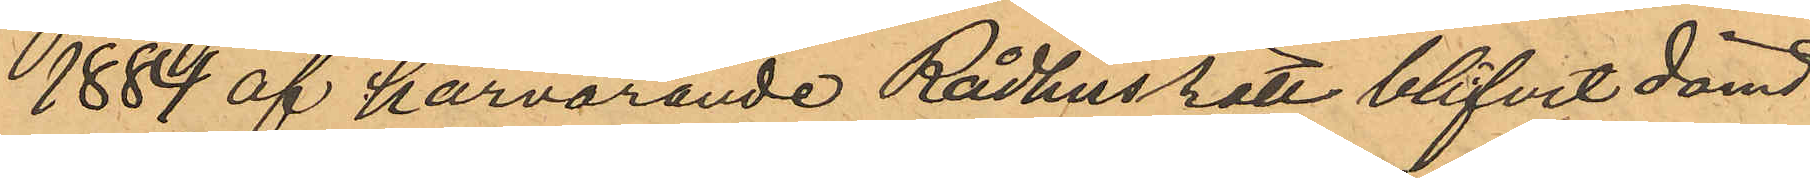1884 af härvarande Rådhusrätt blifvit dömd
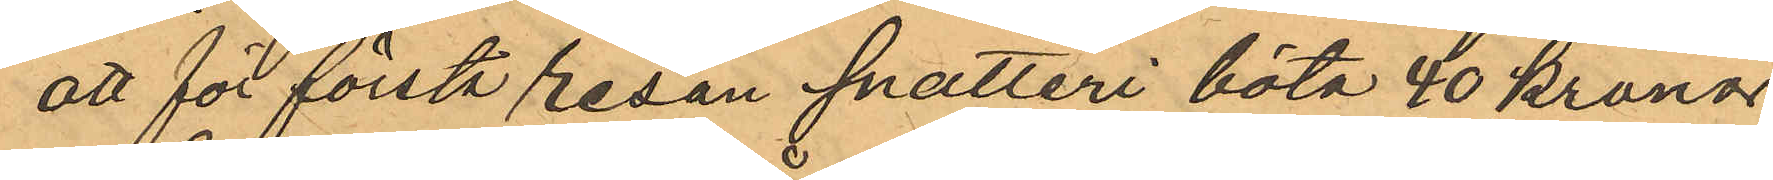att för första resan snatteri böta 40 kronor;
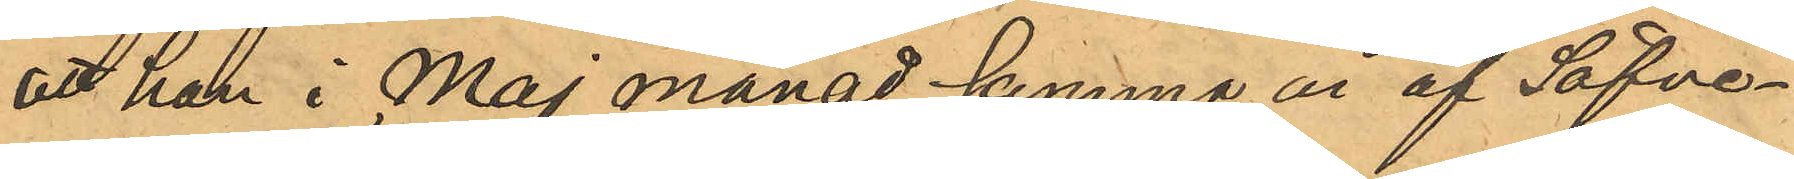att han i Maj månad samma år af Säfve¬
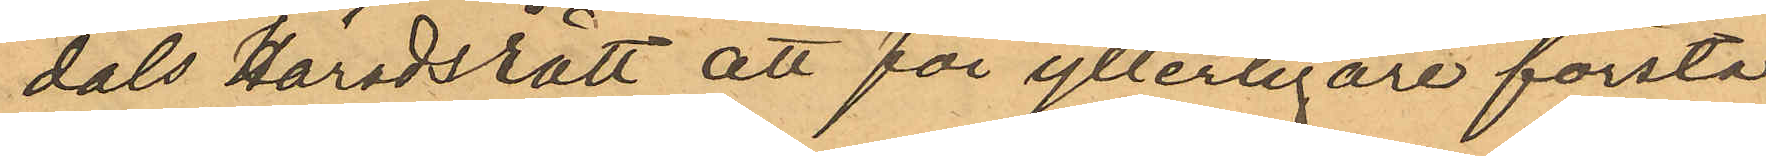dals Häradsrätt att för ytterligare första
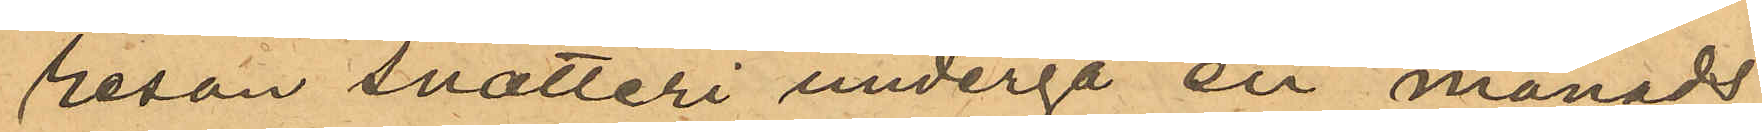resan snatteri undergå en månads
